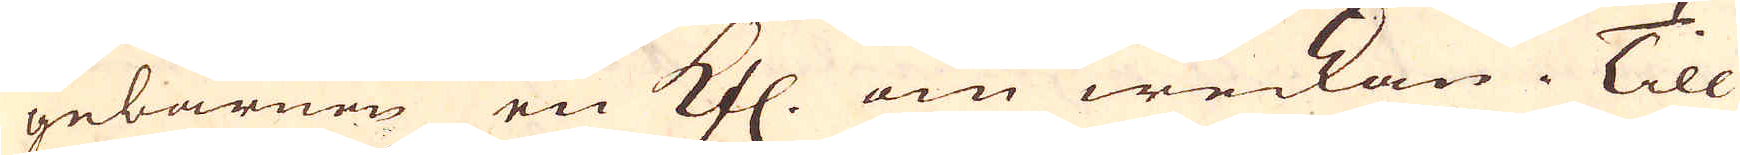gebärnen en Kfl. om weckan. Till
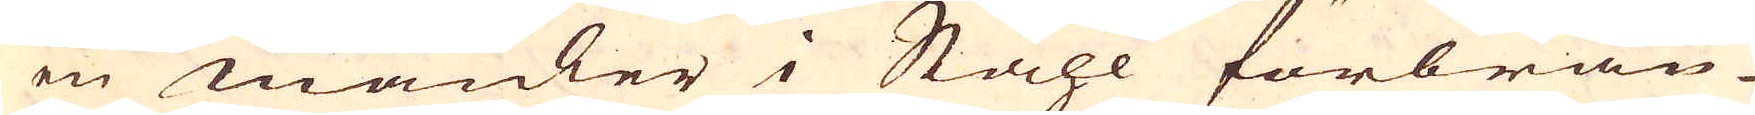en mäuler i Ståhl förbrän-
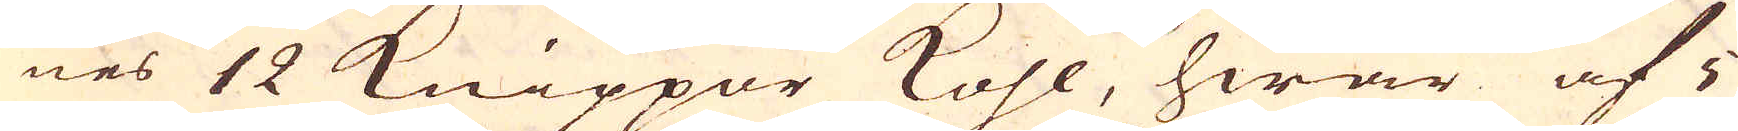nes 12 Knippor kohl, hwar af i
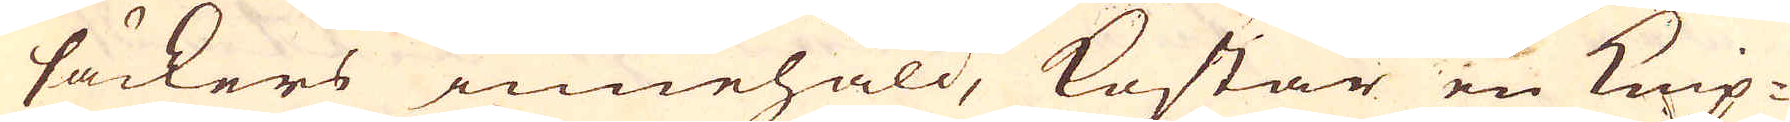säckers innehåld, kostar en Knip-
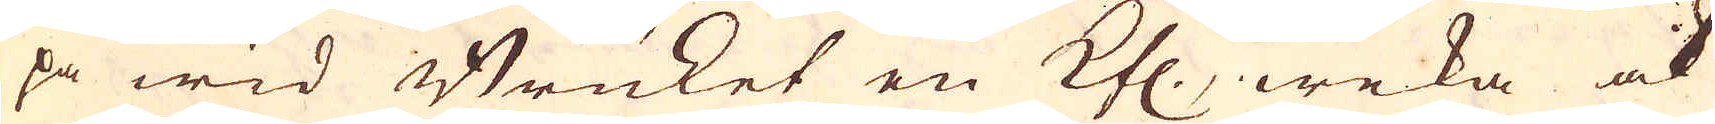pa wid Bruket en Kfl., weka ock
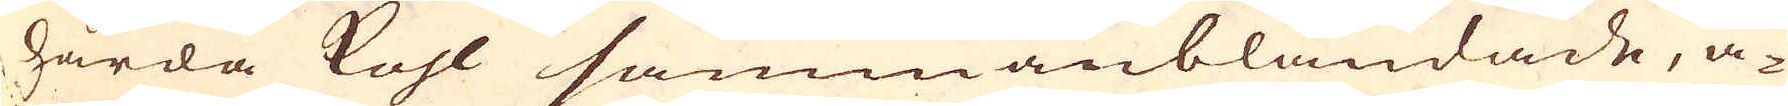hårda kohl sammanblandade, ä-
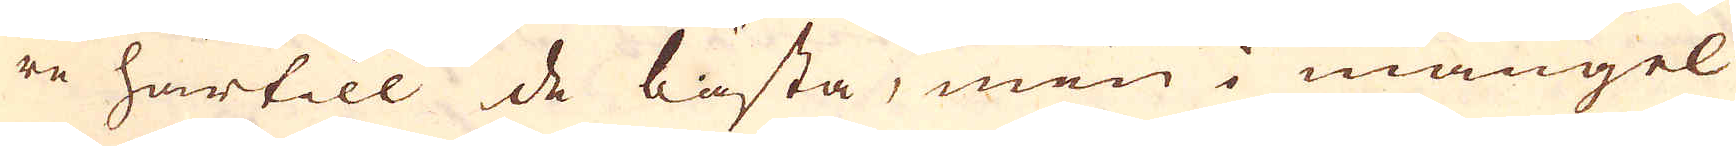re härtill de bästa, men i mangel
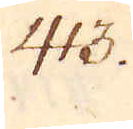413.
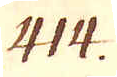414.
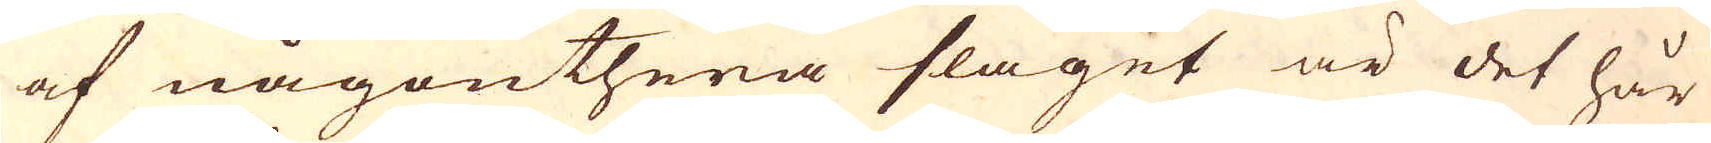af någonthera slaget är det hår-
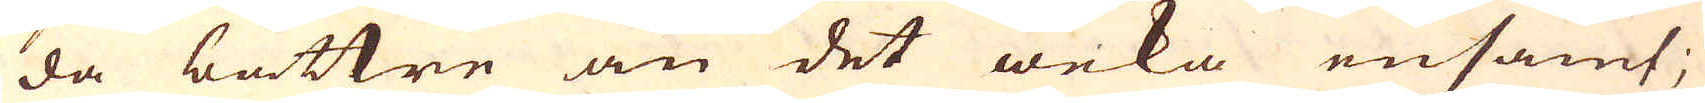da bättre än det weka ensamt;
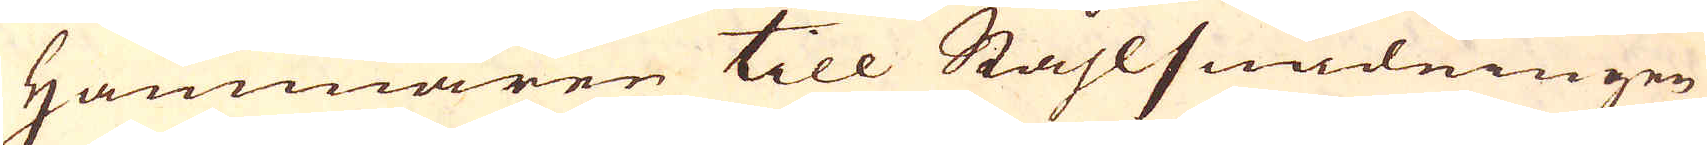Hammaren till Ståhlsmidningen
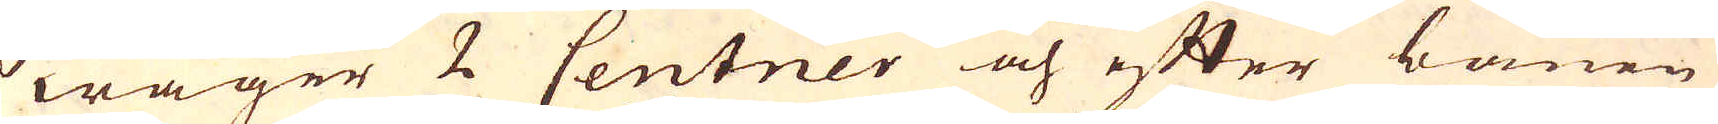wager 2 Centner och efter banen
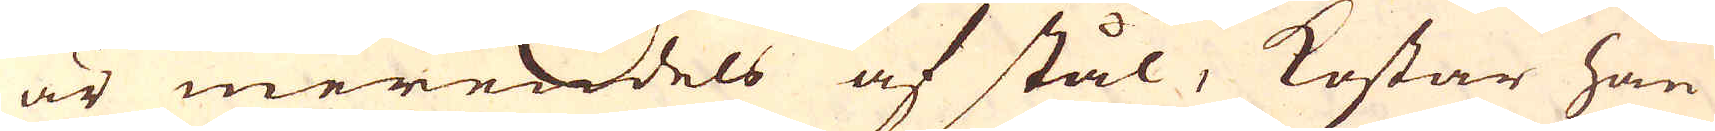är merendels af stål, kostar han
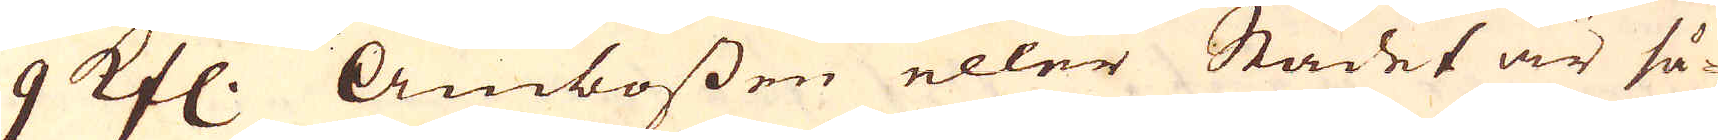9 Kfl. Ambossen eller Städet är så-
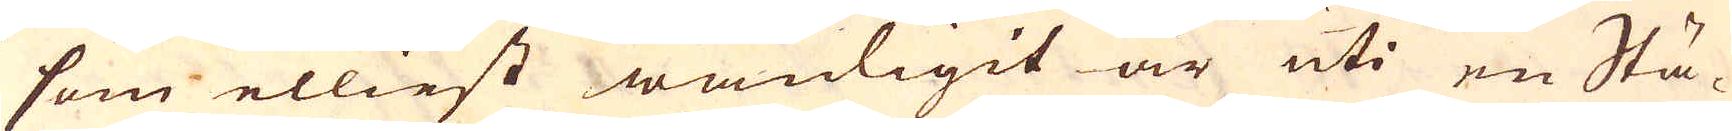som elliest wanligit är uti en Stä-
